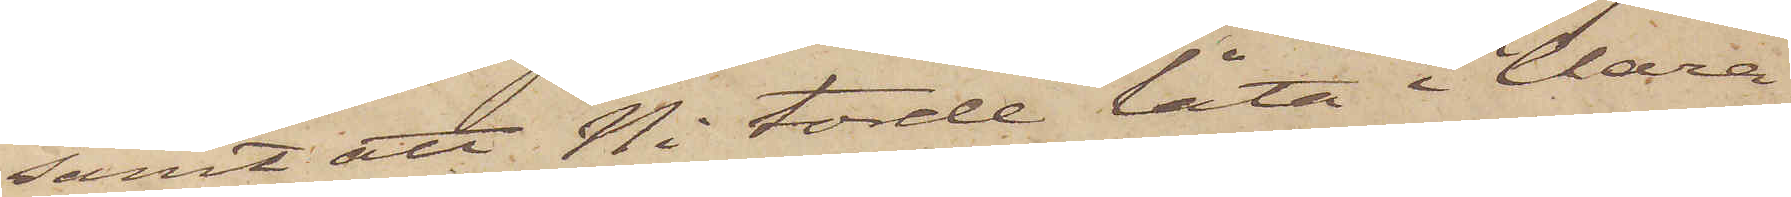samt att Ni torde låta i Clara
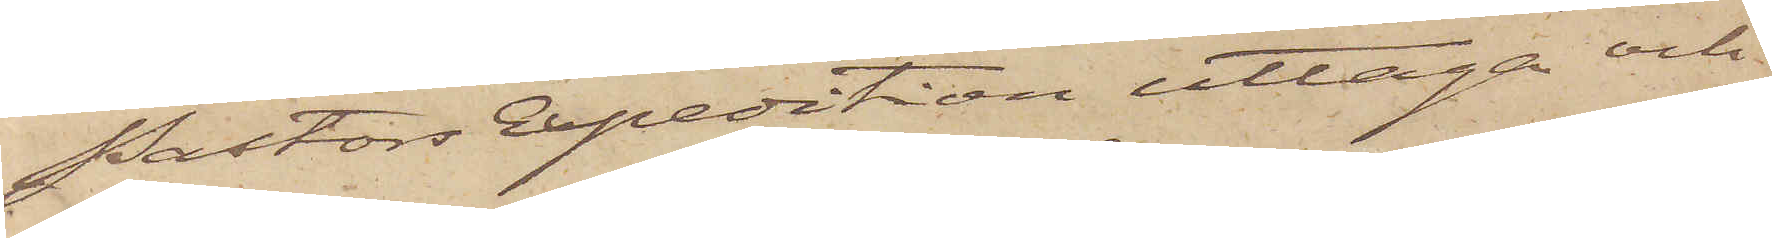Pastors Expedition uttaga och
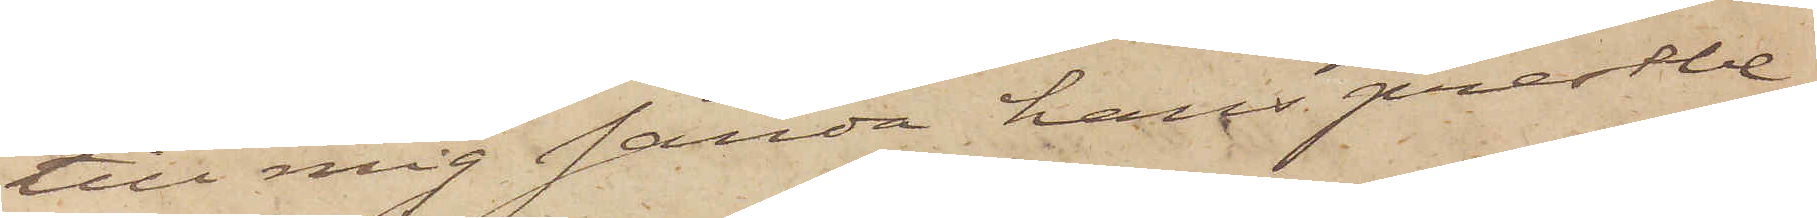till mig sända hans prestbe¬
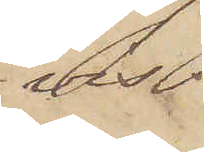vis.
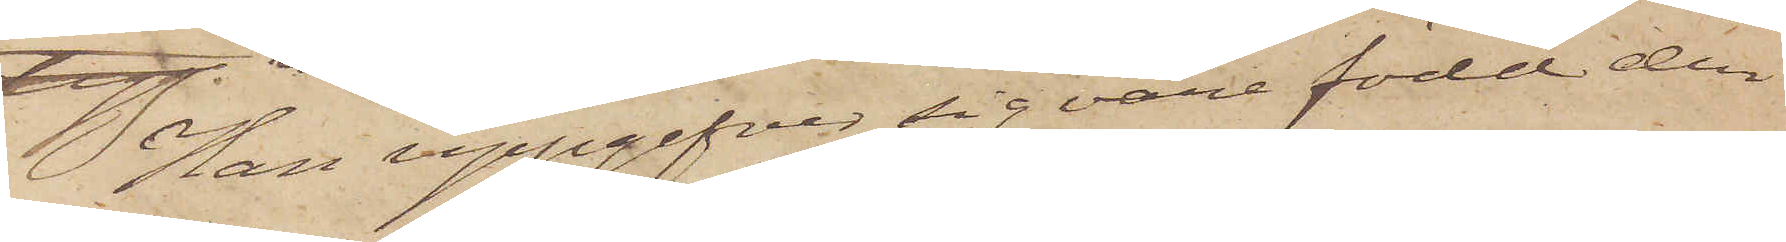Han uppgifvit sig vara född den
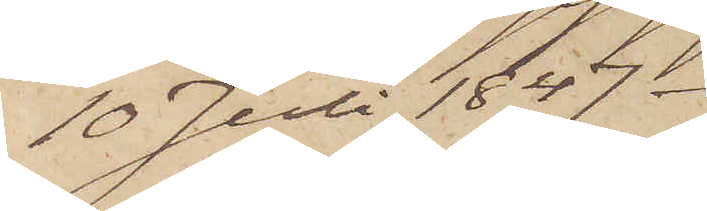10 Juli 1847.
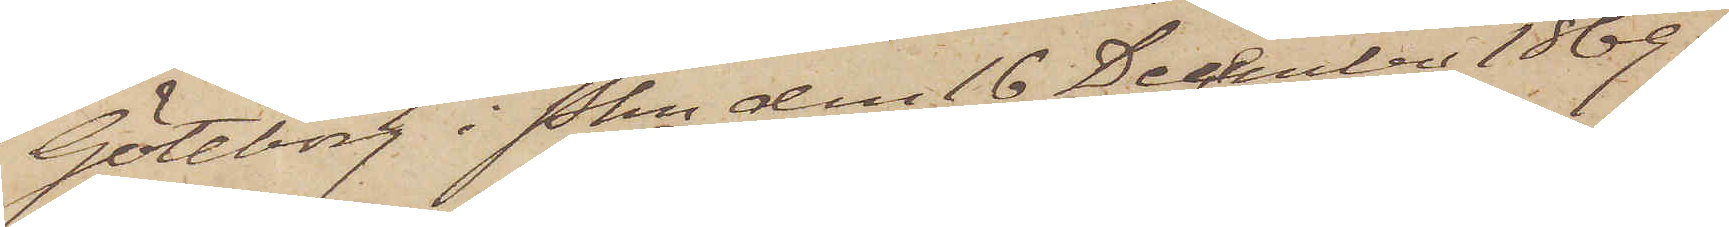Göteborg i Pkn den 16 December 1869.
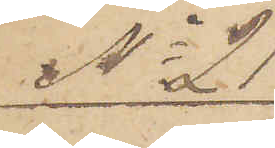No 21
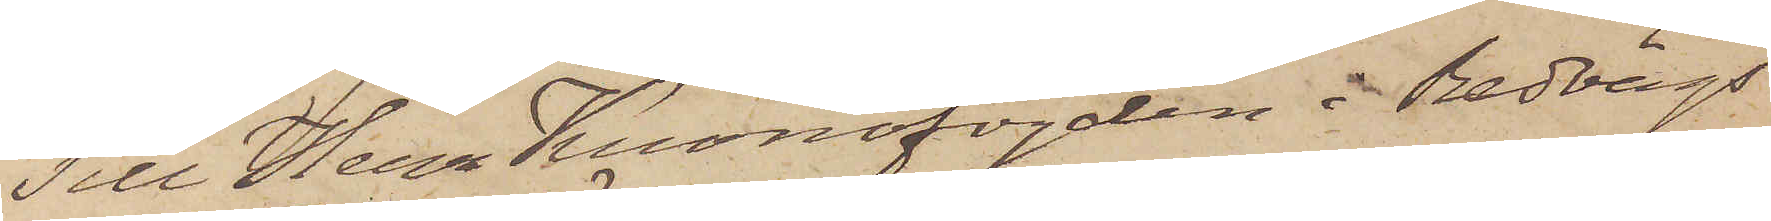Till Herr Kronofogden i Redvägs
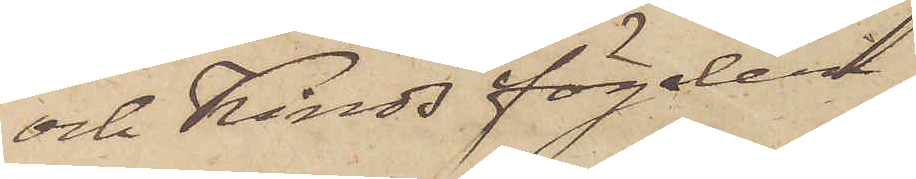och Kinds fögderi.
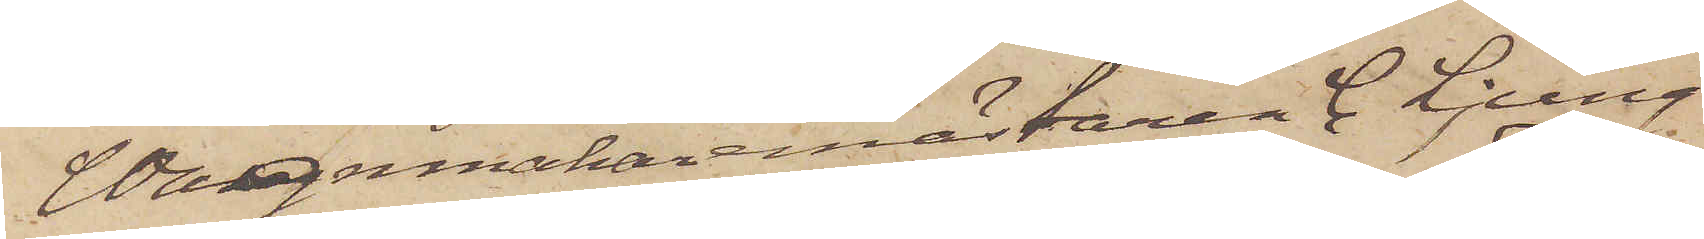Wagnmakaremästaren C. Ljung¬
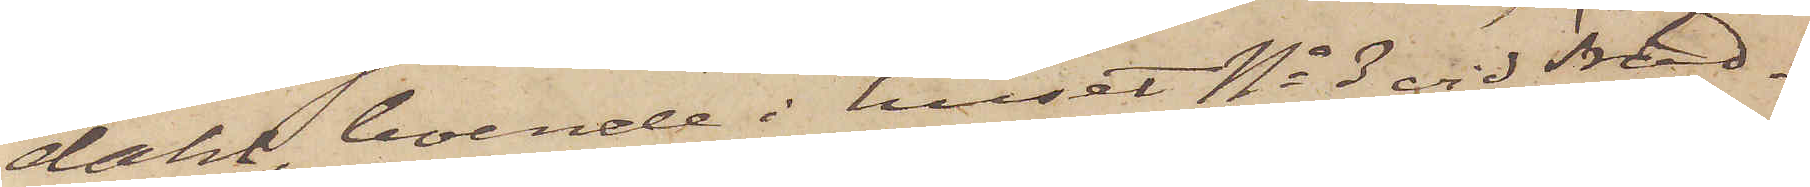dahl, boende i huset No 3 vid Träd¬
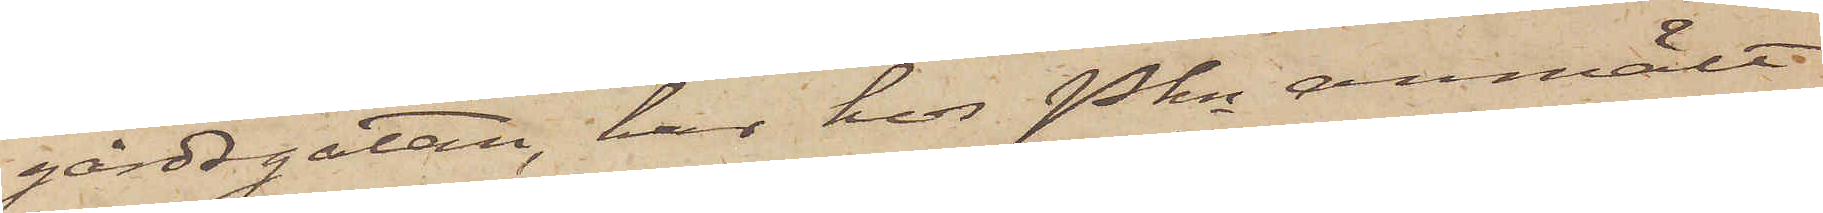gårdsgatan, har hos Pkn anmält
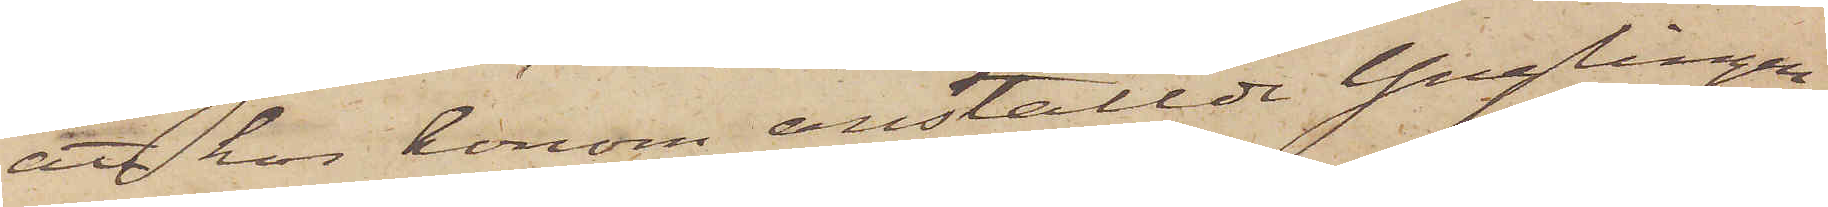att hos honom anställde Ynglingen
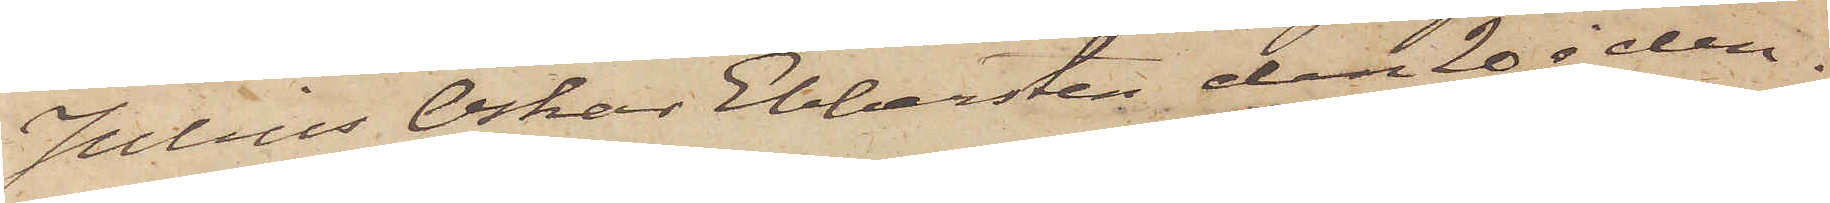Julius Oskar Ebbersten den 20 i den¬
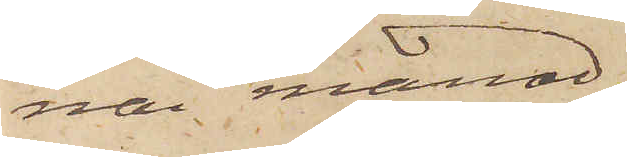ma månad
